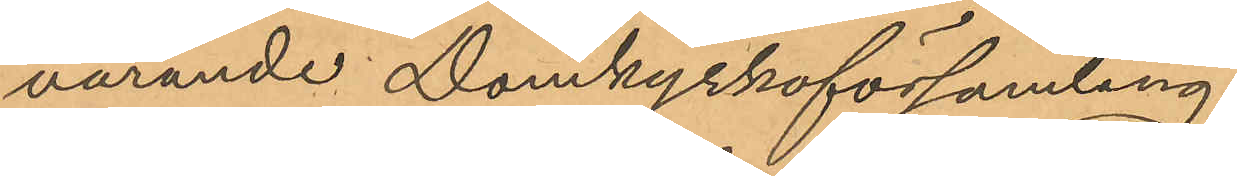varande Domkyrkoförsamling.
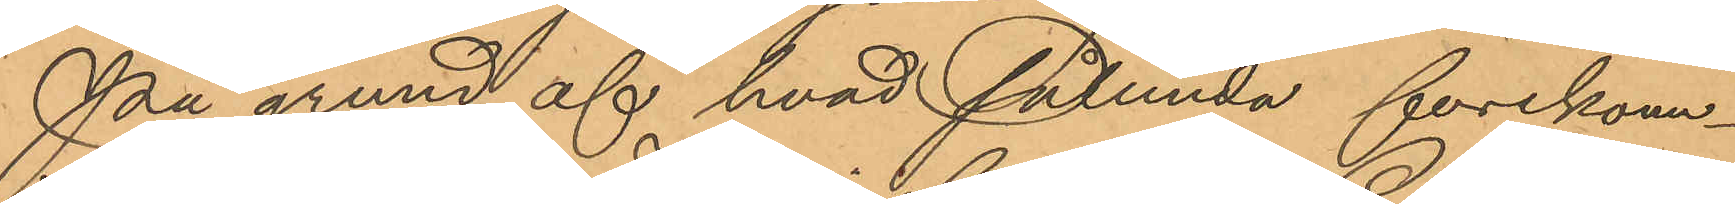På grund af hvad sålunda förekom¬
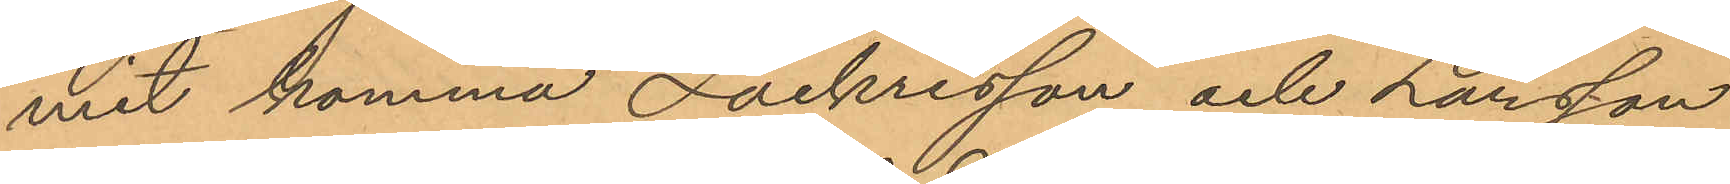mit komma Zachrisson och Larsson
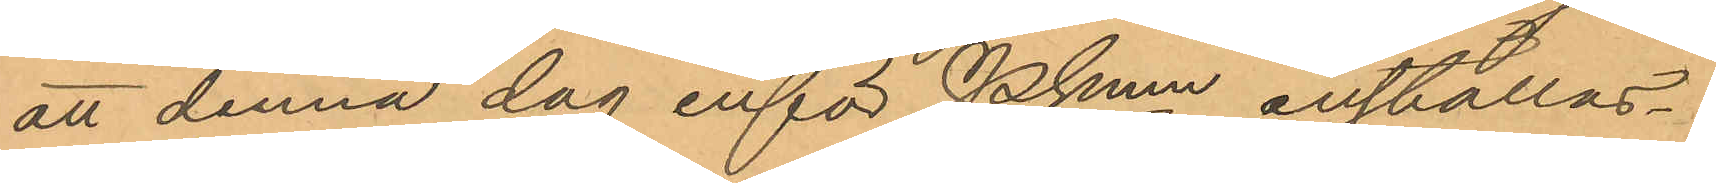att denna dag inför Pkmn inställas.
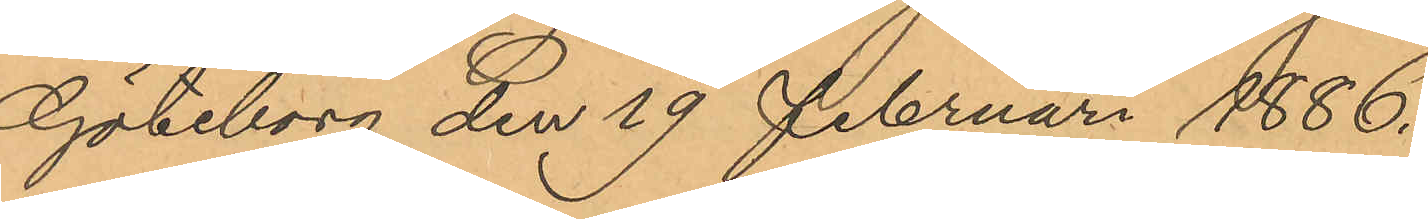Göteborg den 19 Februari 1886.
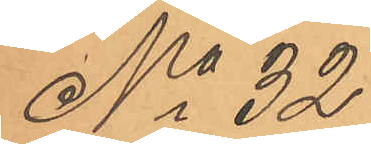No 32
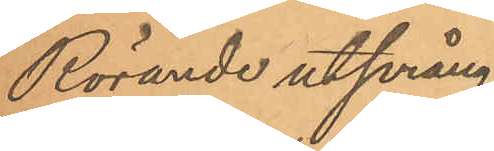Rörande utprång¬
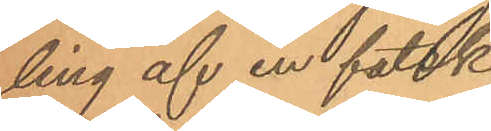ling af en falsk
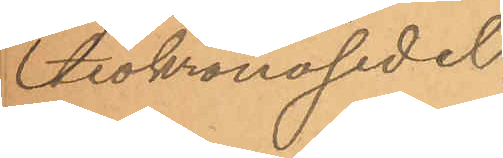tiokronosedel.
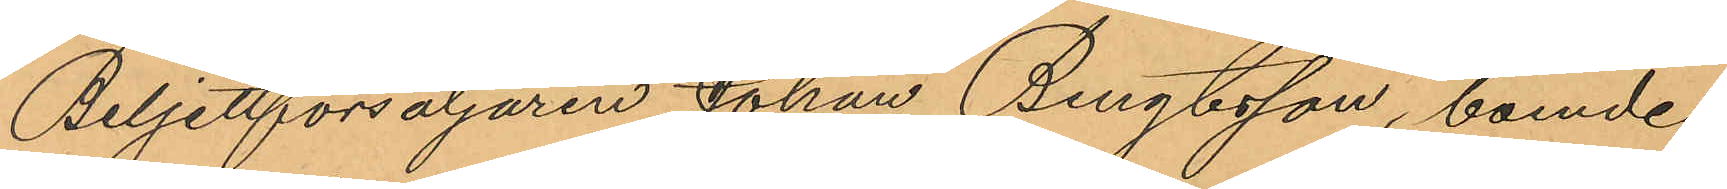Biljettförsäljaren Johan Bengtsson, boende
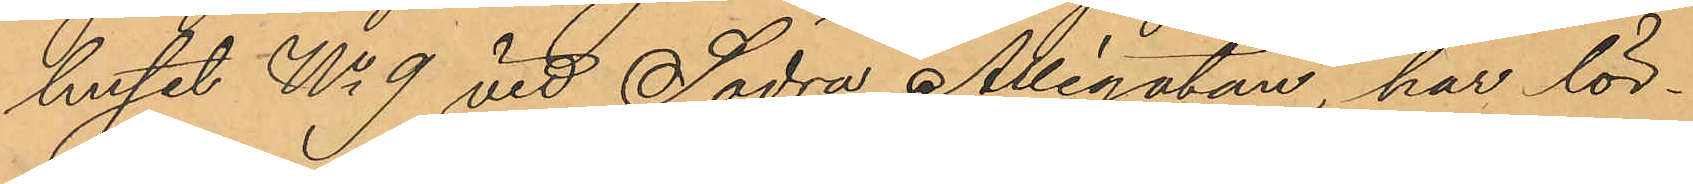huset No 9 vid Södra Allégatan, har lör¬
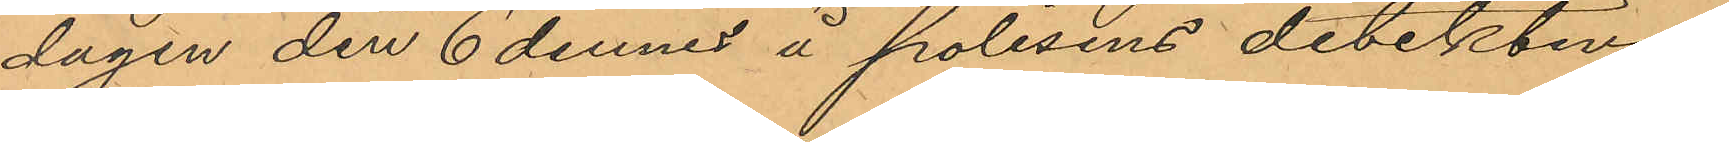dagen den 6 dennes å polisens detektiva
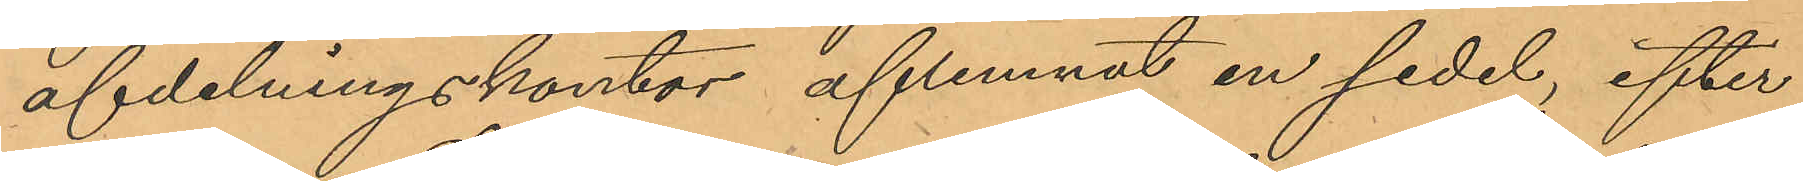afdelningskontor aflemnat en sedel, efter¬
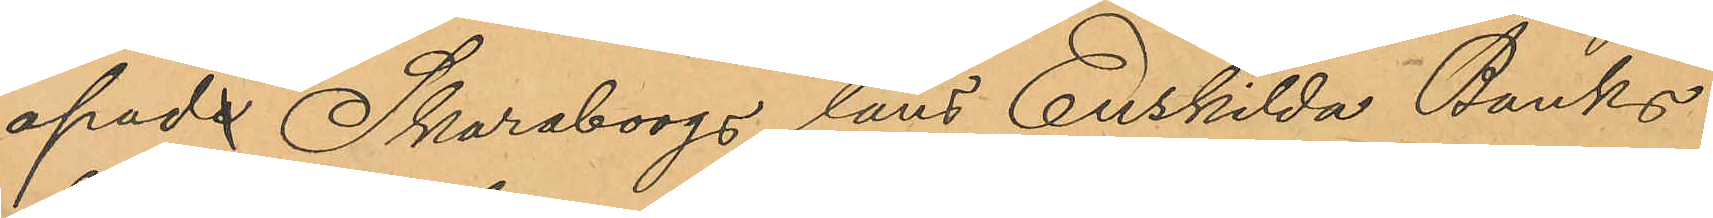apad Skaraborgs läns Enskilda Banks
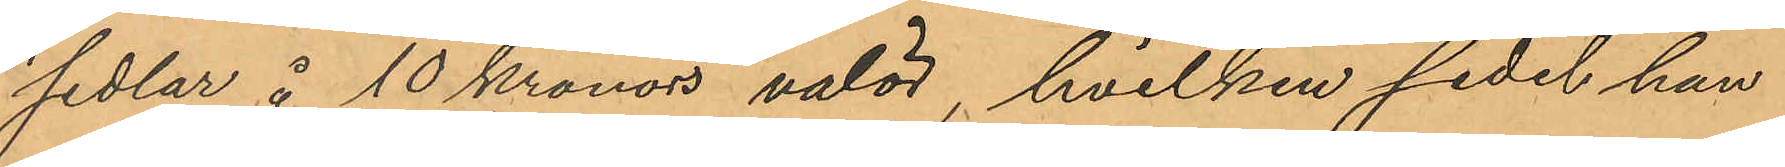sedlar å 10 Kronors valör, hvilken sedel han
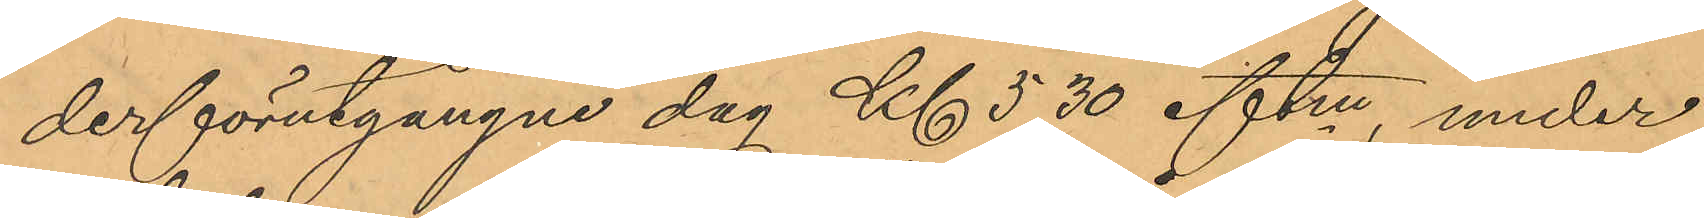derförutgångne dag Kl 5,30 eftm, under
